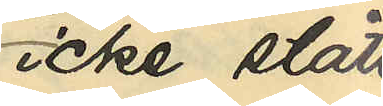icke stått
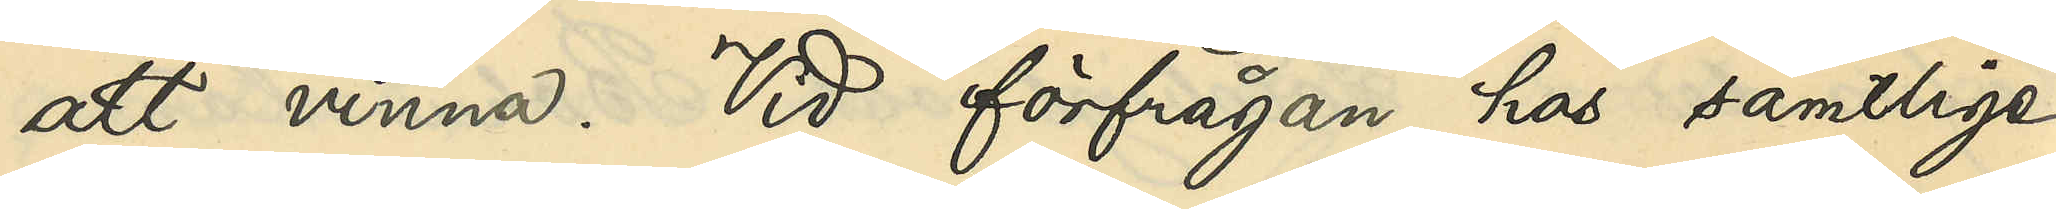att vinna. Vid förfrågan hos samtlige
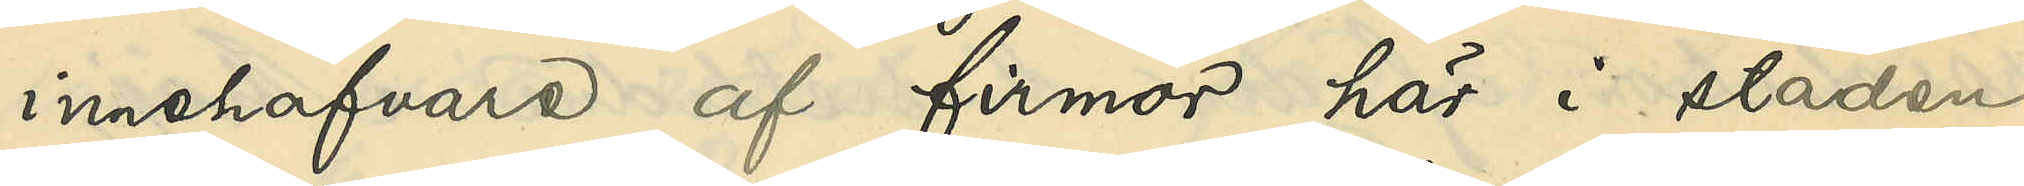innehafvare af firmor här i staden
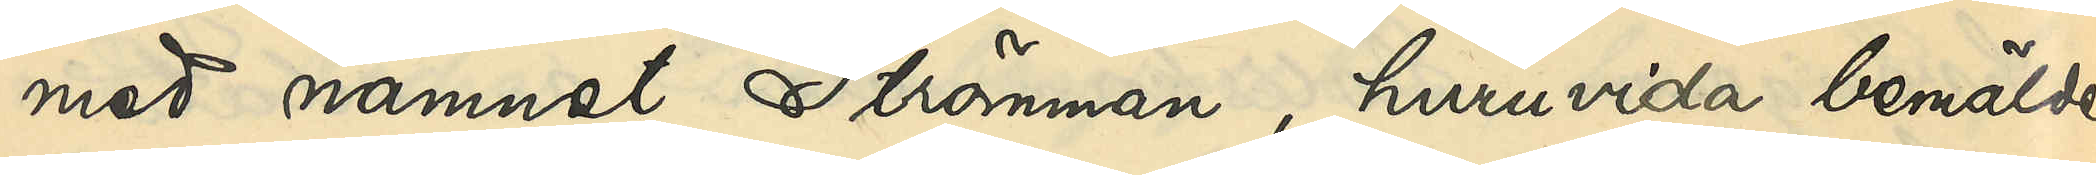med namnet Strömman, huruvida bemälde
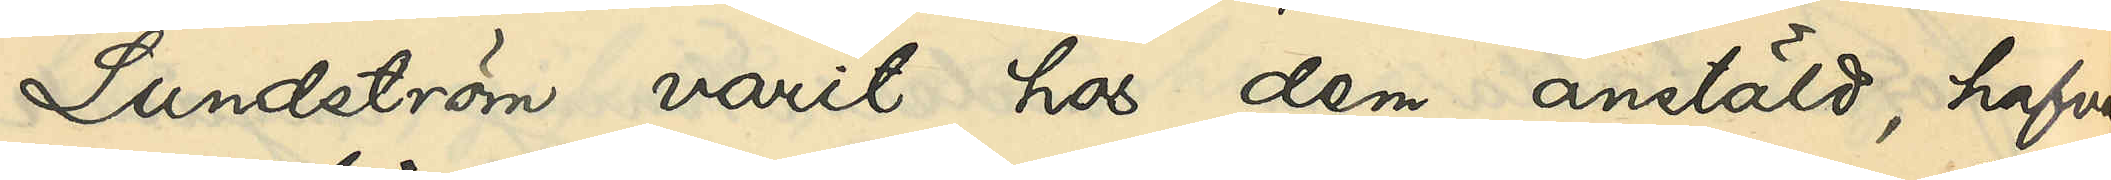Lundström varit hos dem anstäld, hafva
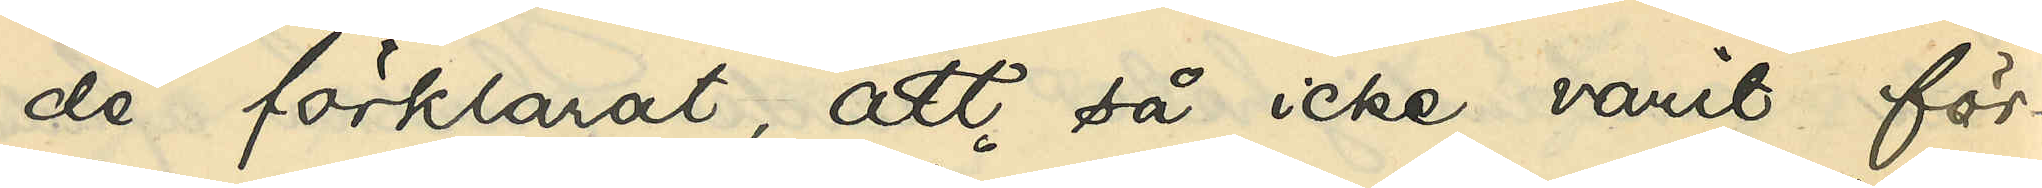de förklarat, att så icke varit för¬
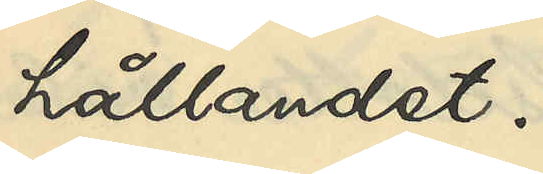hållandet.
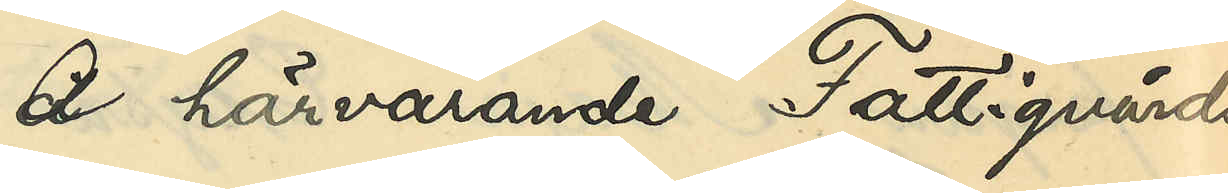Å härvarande Fattigvårds¬
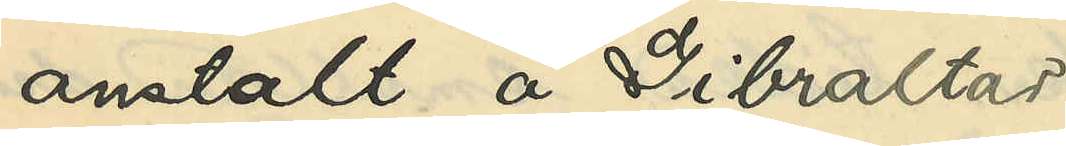anstalt å Gibraltar
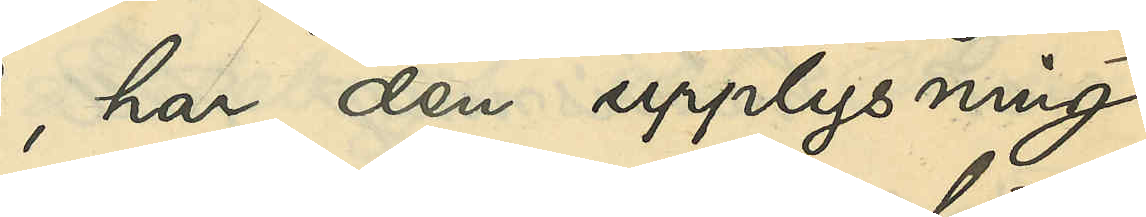har den upplysning
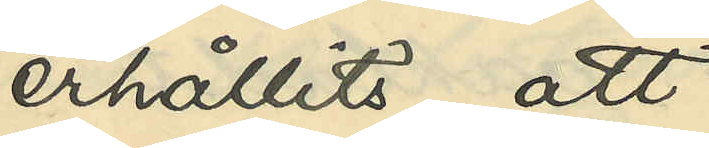erhållits att,
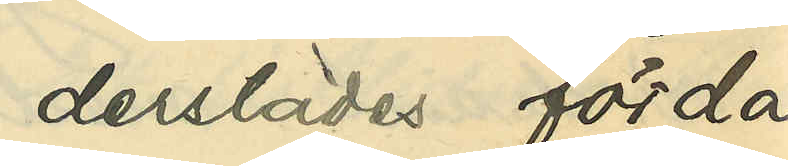derstädes förda
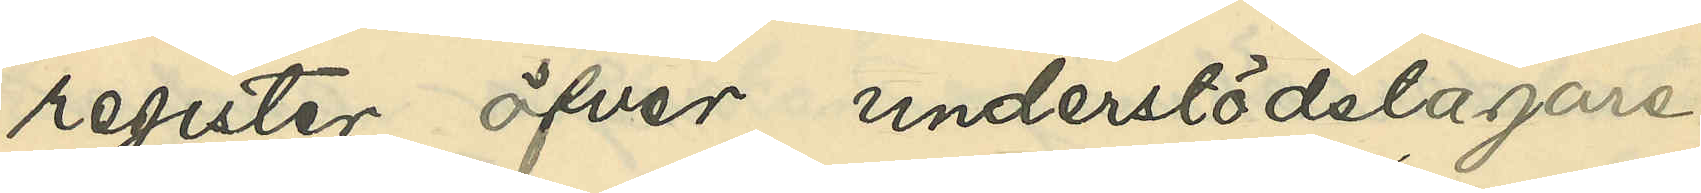register öfver understödstagare
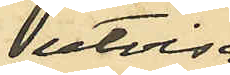utvisa
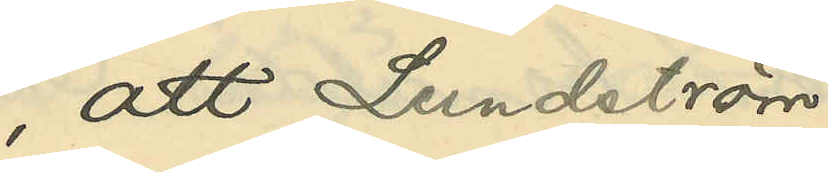att Lundström
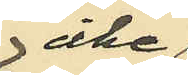icke
